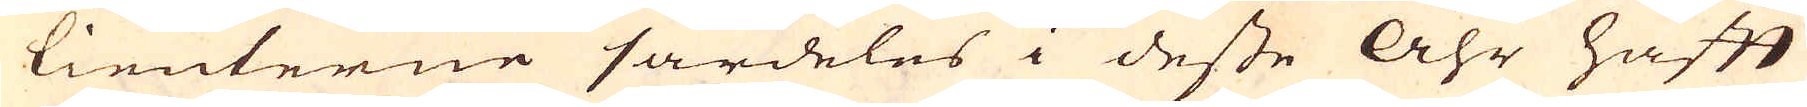tienterne särdeles i desse åhr haft
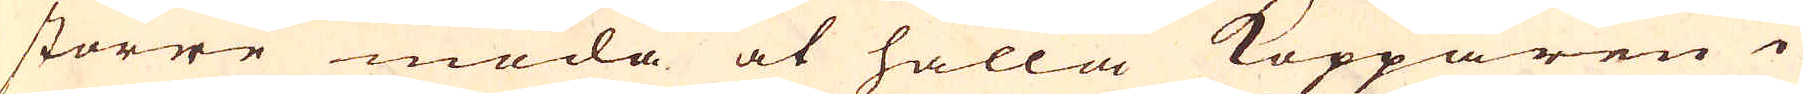större möda at hålla Kopparen i
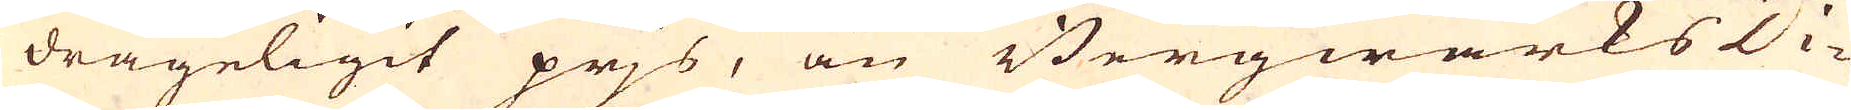drägeligit prjs, än Bergwärks Di-
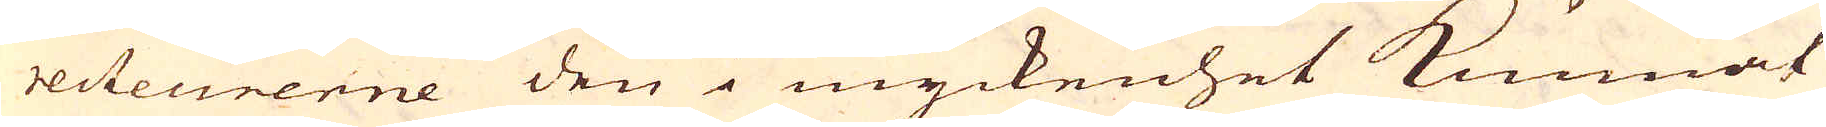recteurerne den i myckenhet kunnat
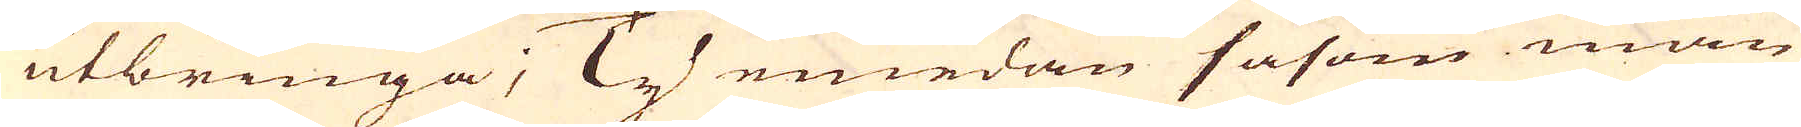utbringa; Ty emedan såsom man
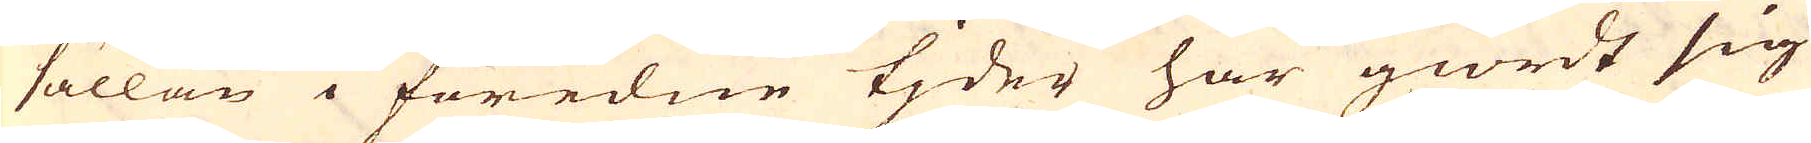sällan i föredne tjder har giordt sig
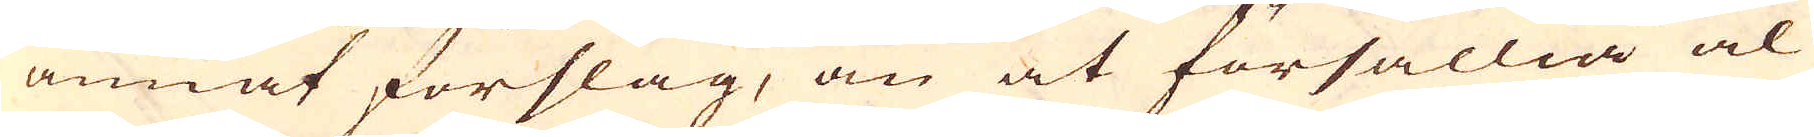annat förslag, än at försällia al
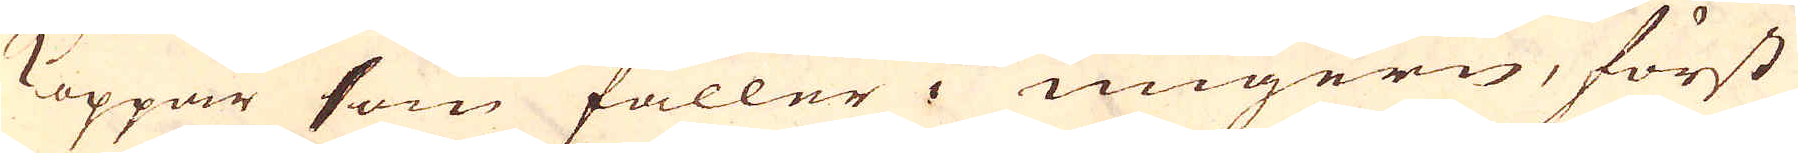Koppar som faller i Ungern, först
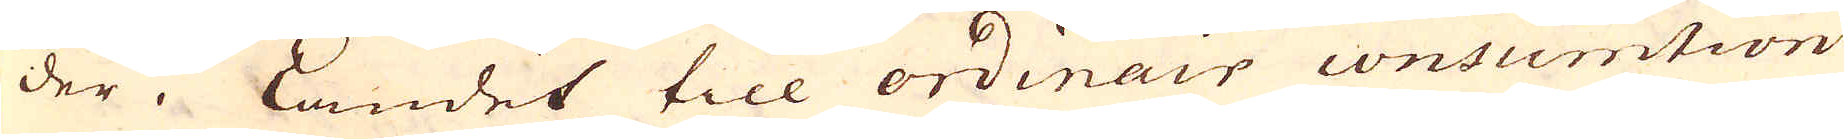der i Landet till ordinair consumtion
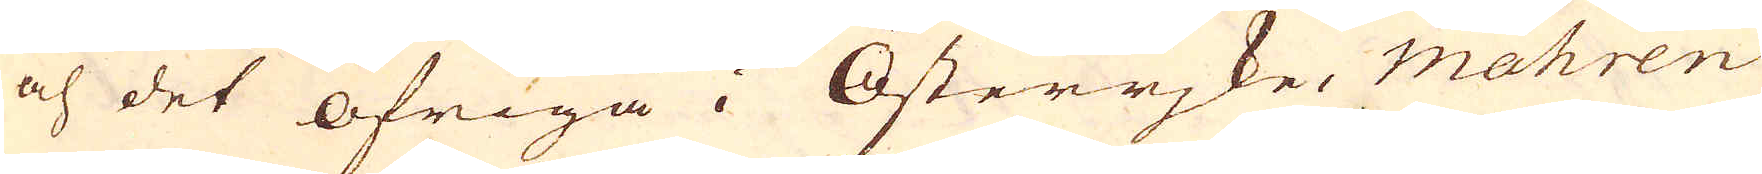och det öfriga i Österrjke, Mähren
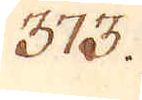373.
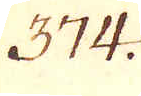374.
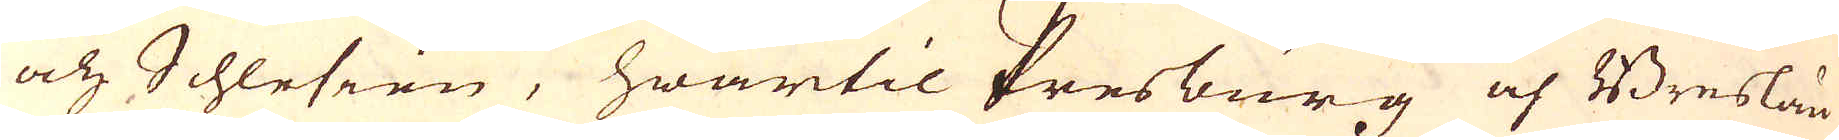och Schlesien, hwartil Presburg och Breslau
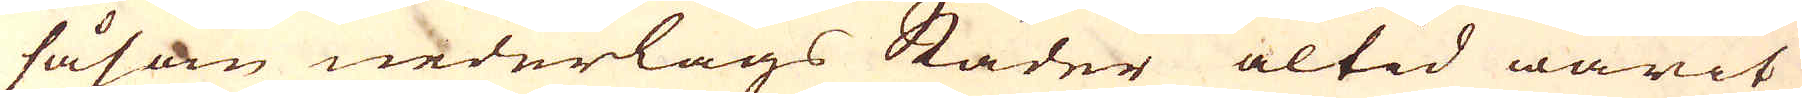såsom nederlags Städer altid warit
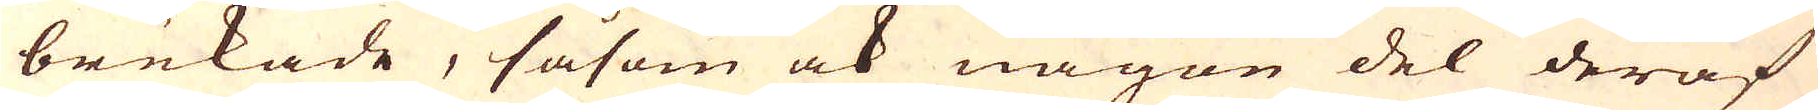brukade, såsom ock någon del deraf
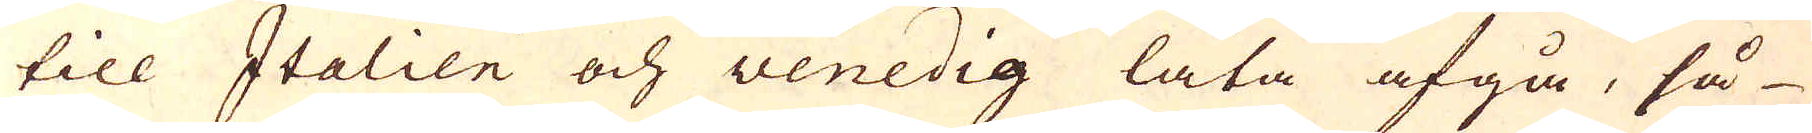till Italien och Venedig låta afgå, så
